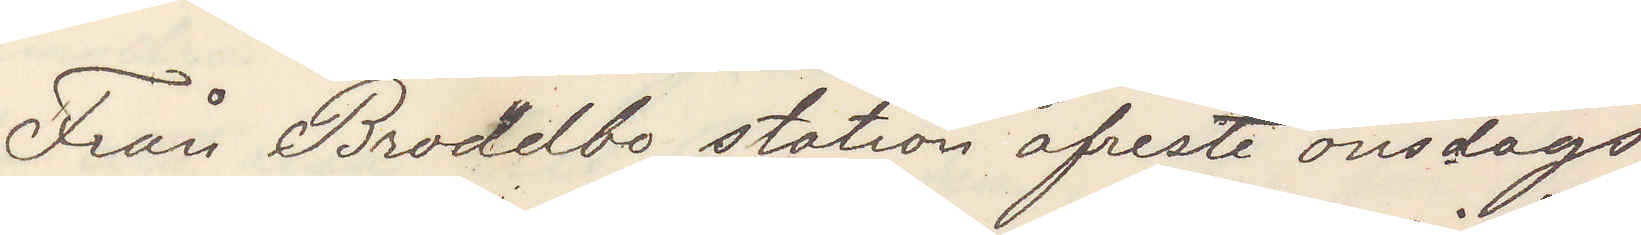Från Brodelbo station afreste onsdags
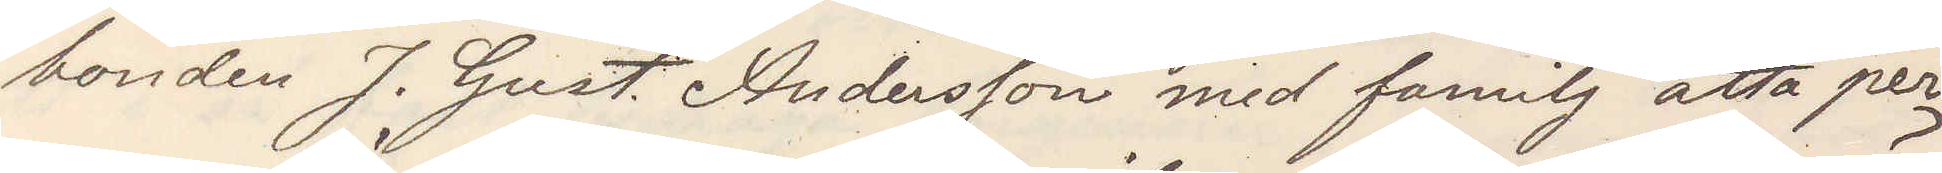bonden J. Gust. Andersson med familj åtta per¬
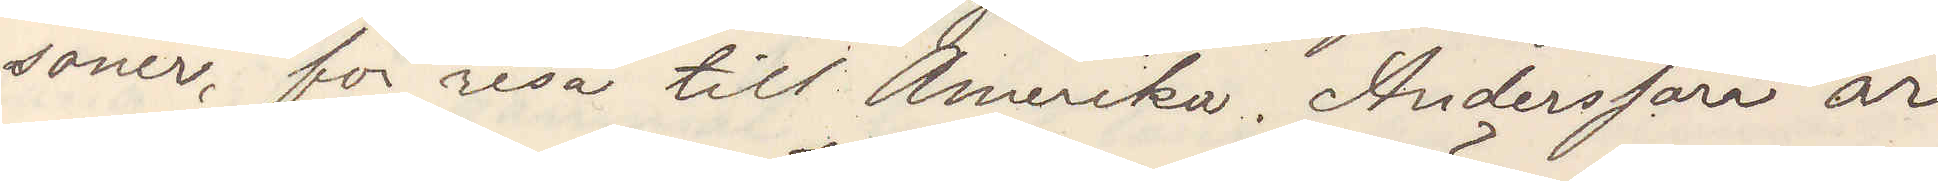soner för resa till Amerika. Andersson är
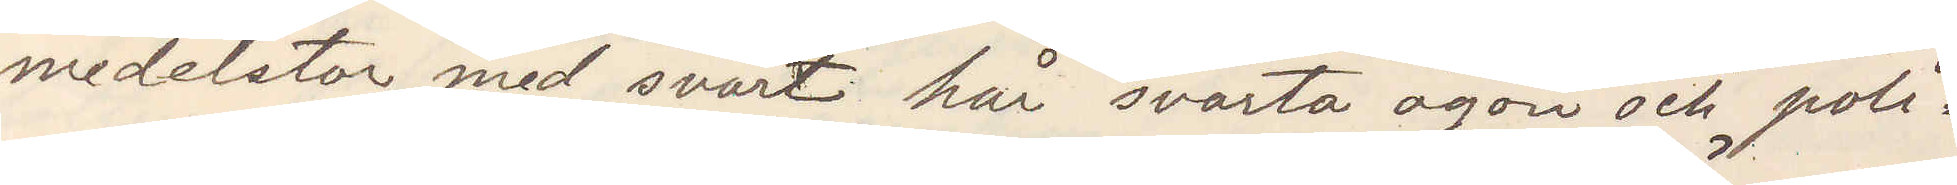medelstor med svart hår svarta ögon och poli¬
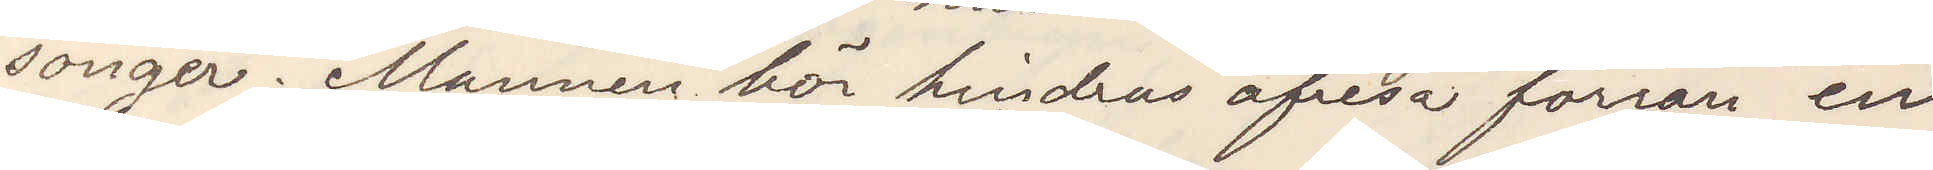songer. Mannen bör hindras afresa förrän en
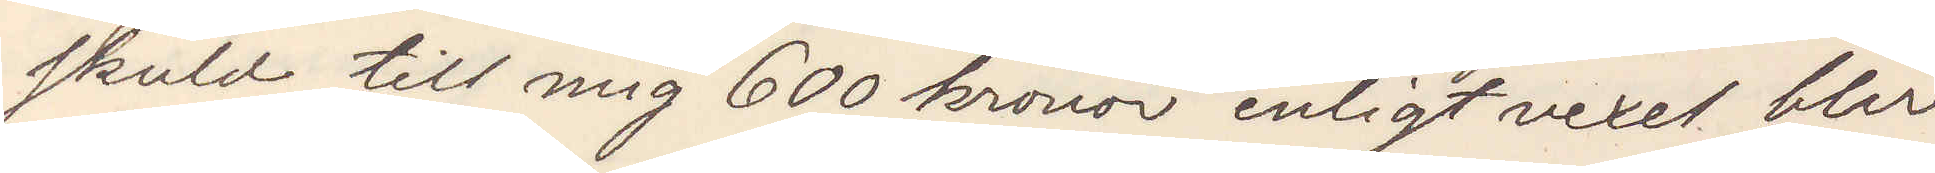skuld till mig 600 kronor enligt vexel blir
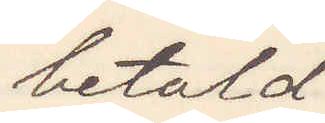betald
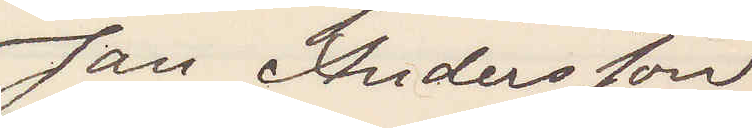Jan Andersson
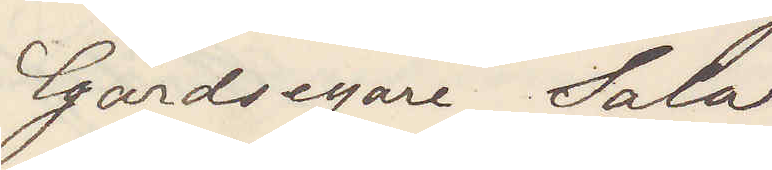Gårdsegare Sala
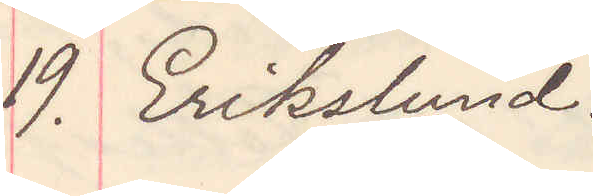19. Erikslund.
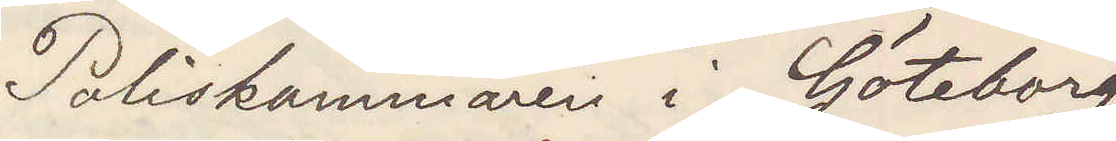Poliskammaren i Göteborg
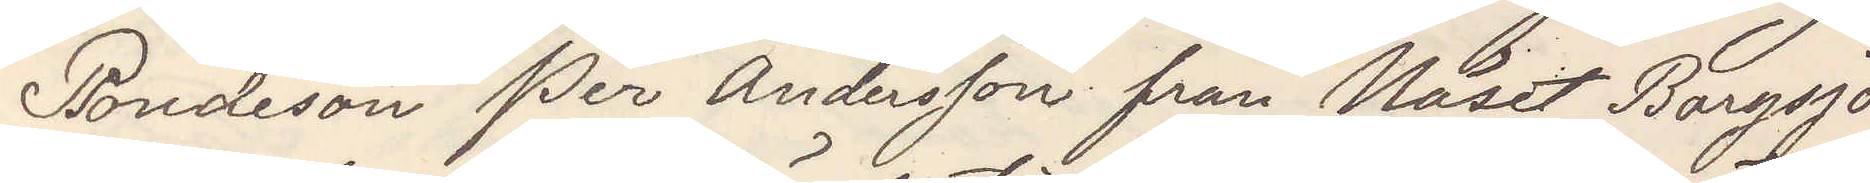Bondeson Per Andersson från Näset Borgsjö
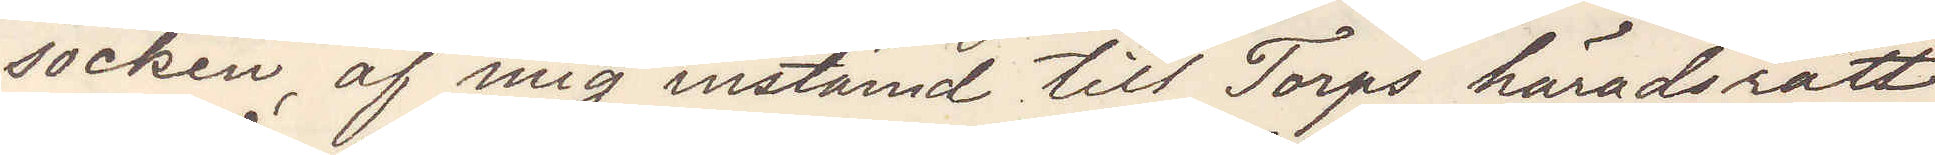socken, af mig instämd till Torps häradsrätt
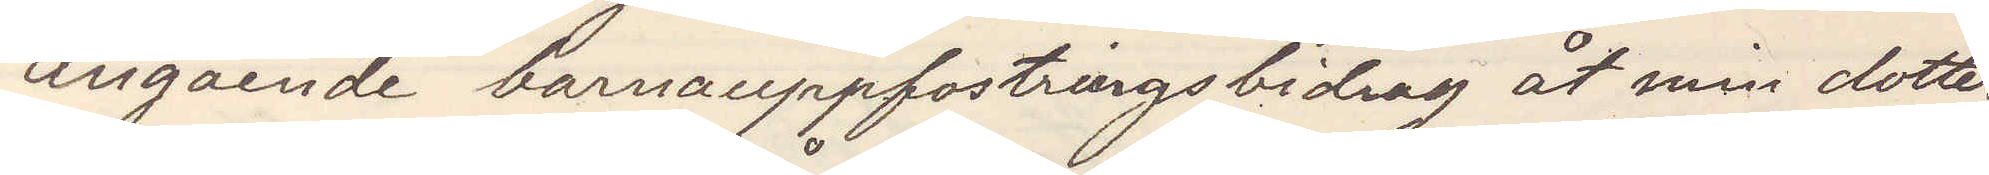angående barnuppfostringsbidrag åt min dotter,
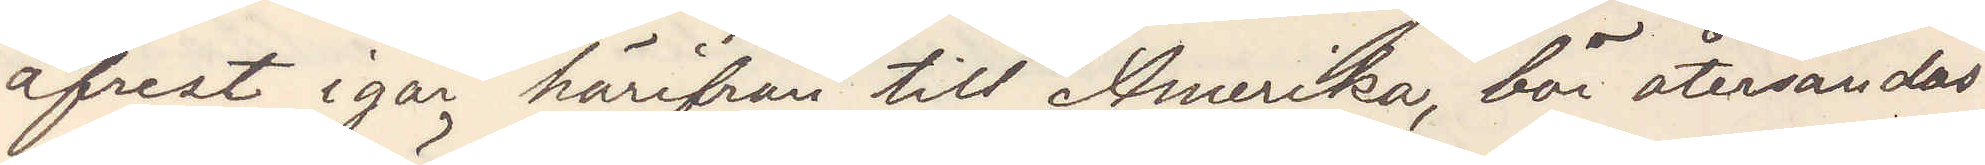afrest igår härifrån till Amerika, bör återsändas
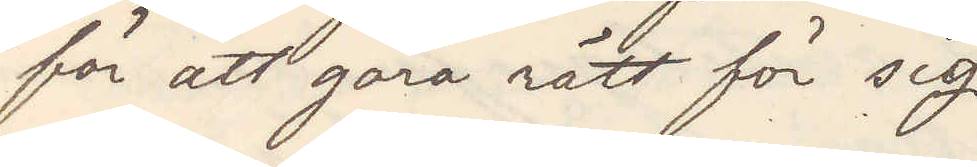för att göra rätt för sig
